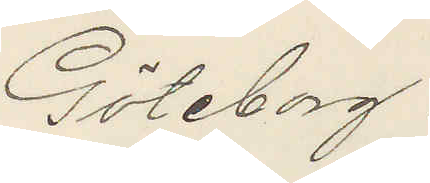Göteborg.
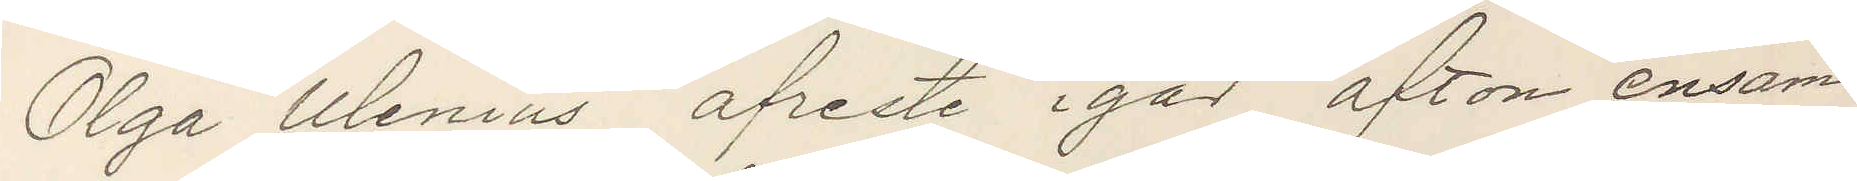Olga Ulenius afreste igår afton ensam
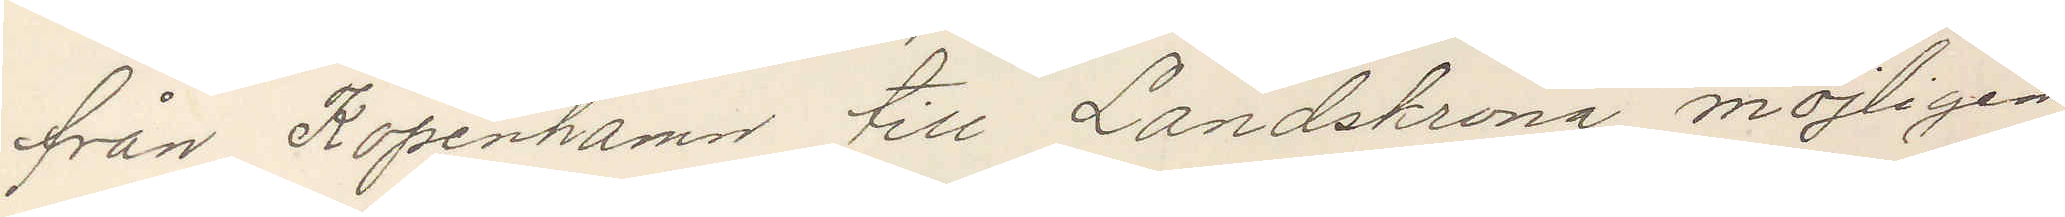från Köpenhamn till Landskrona möjligen
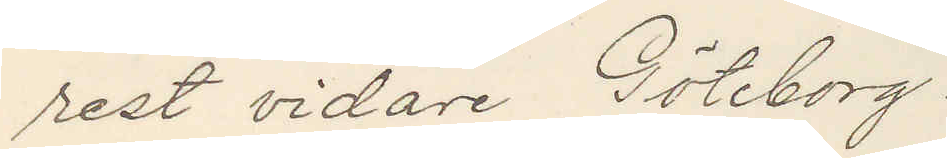rest vidare Göteborg.
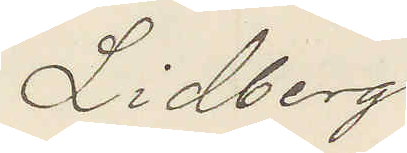Lidberg
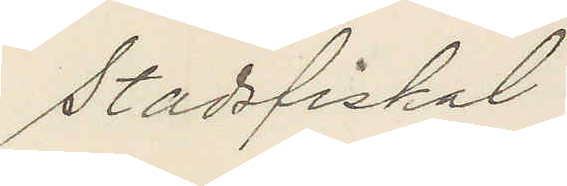Stadsfiskal
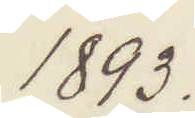1893.
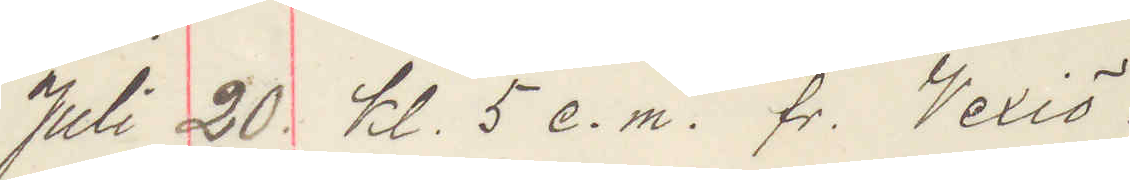Juli 20. kl. 5 e. m. Vexiö.
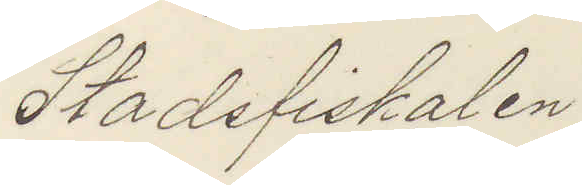Stadsfiskalen 
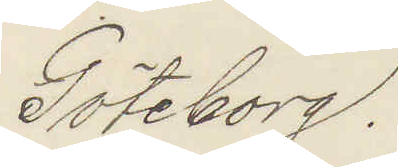Göteborg.
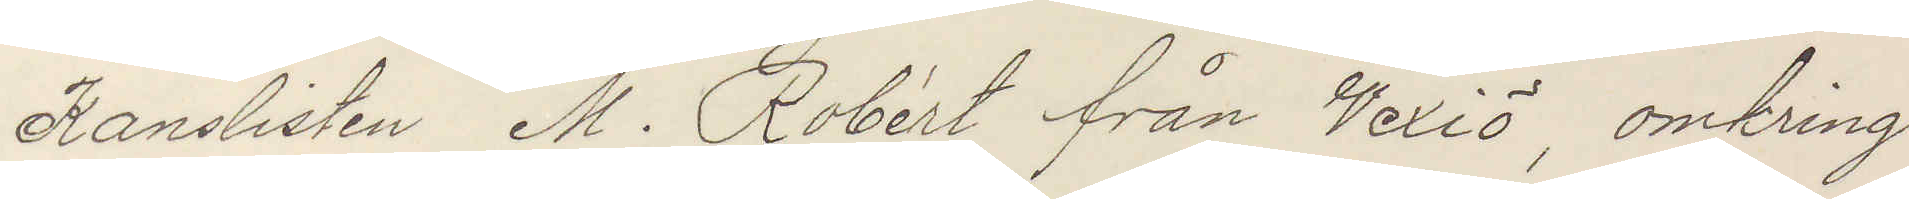Kanslisten M. Robért från Vexiö, omkring
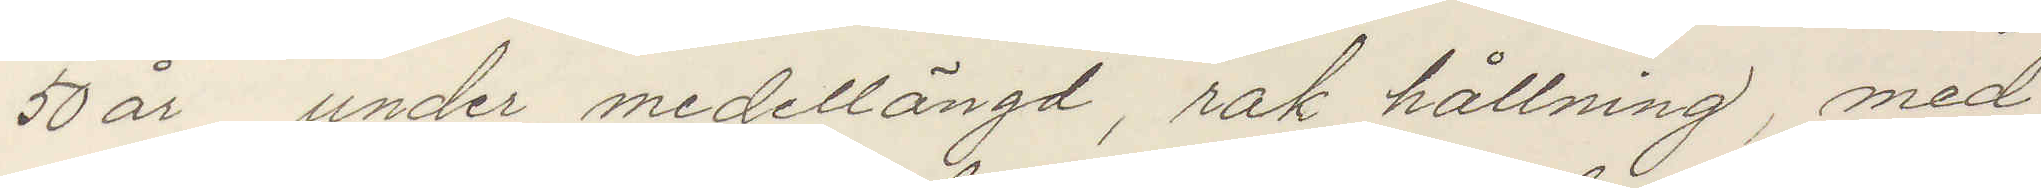50 år, under meddellängd, rak hållning, med
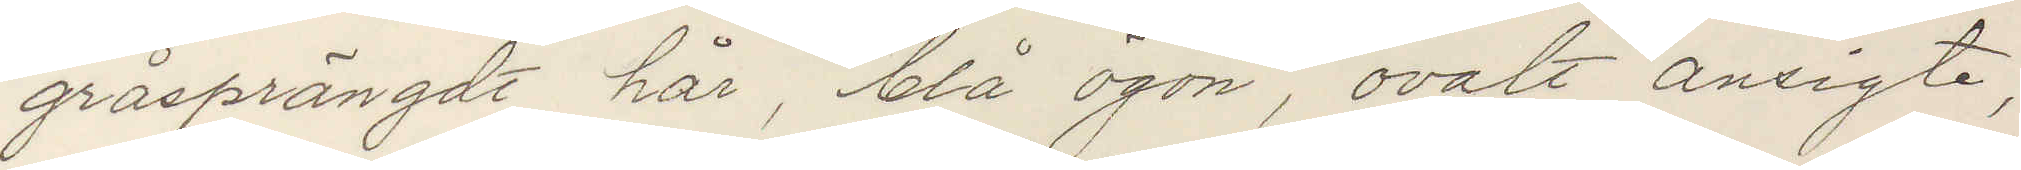gråsprängdt hår, blå ögon, ovalt ansigte,
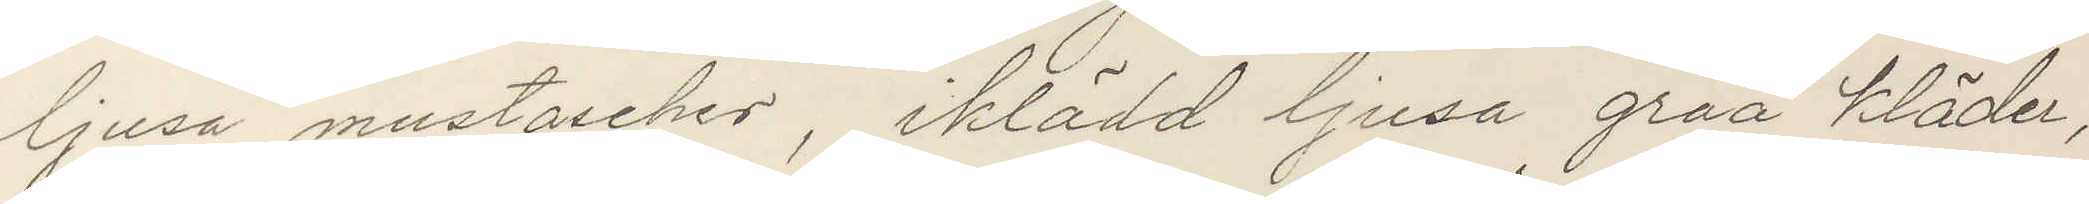ljusa mustacher, iklädd ljusa gråa kläder,
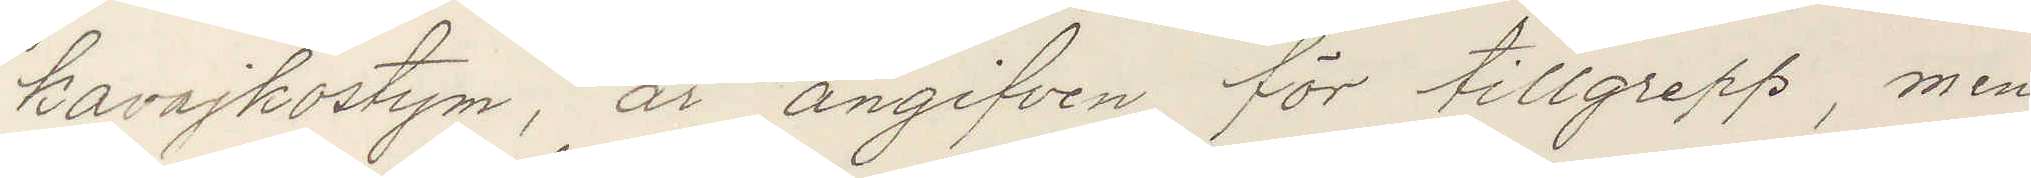kavajkostym, är angifven för tillgrepp, men
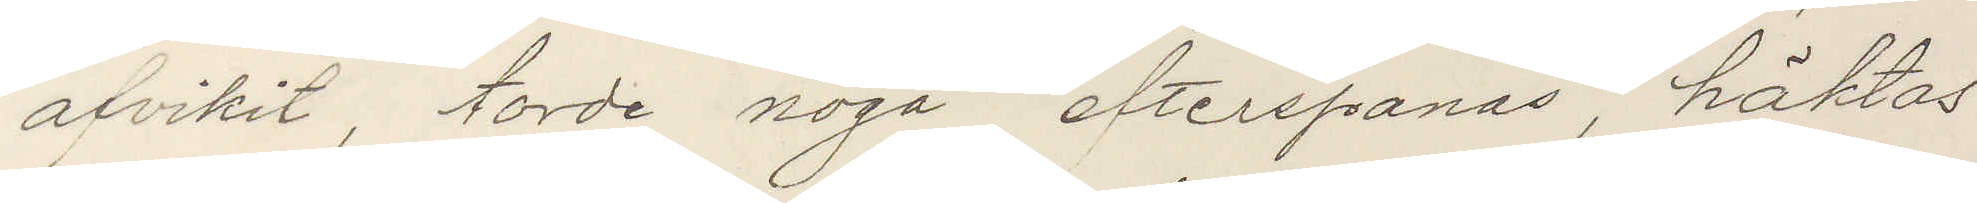afvikit, torde noga efterspanas, häktas
